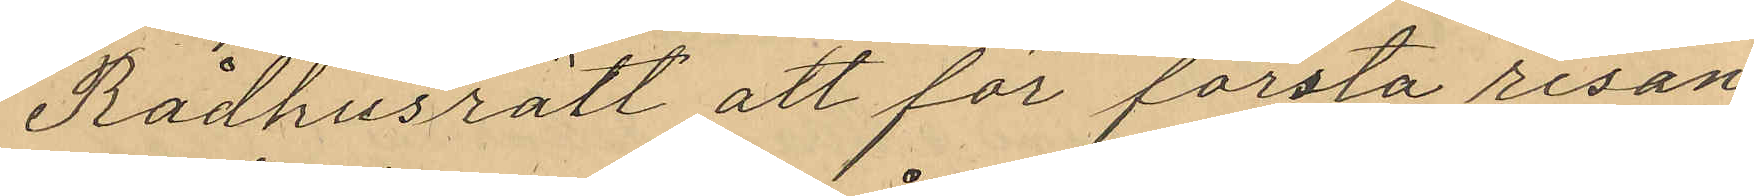Rådhusrätt att för första resan
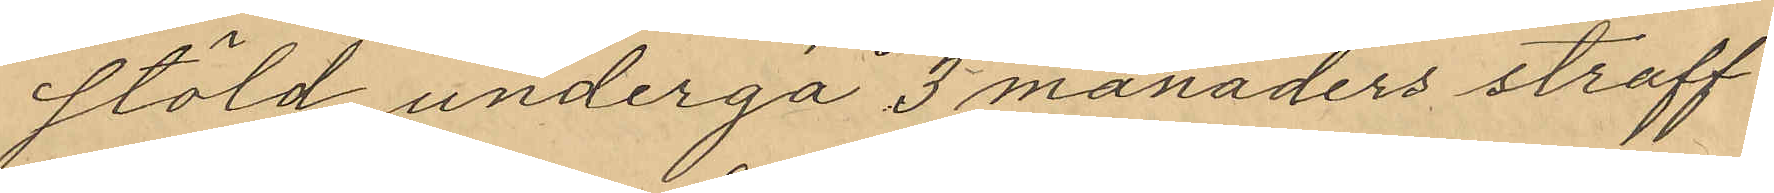stöld undergå 3 månaders straff¬
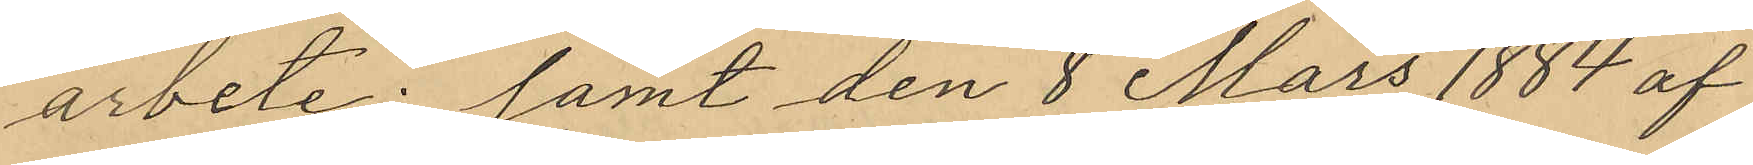arbete; samt den 8 Mars 1884 af
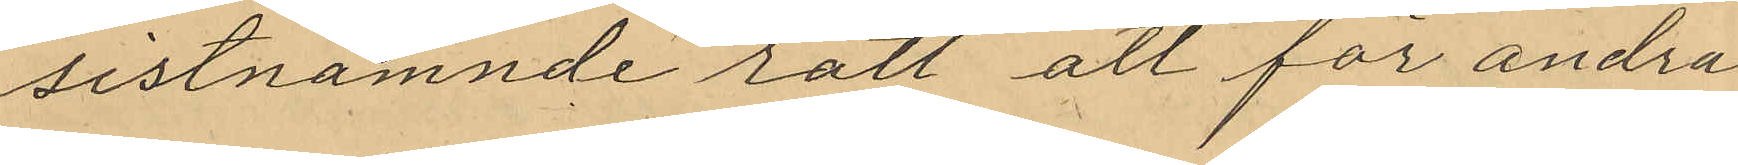sistnamnde rätt att för andra
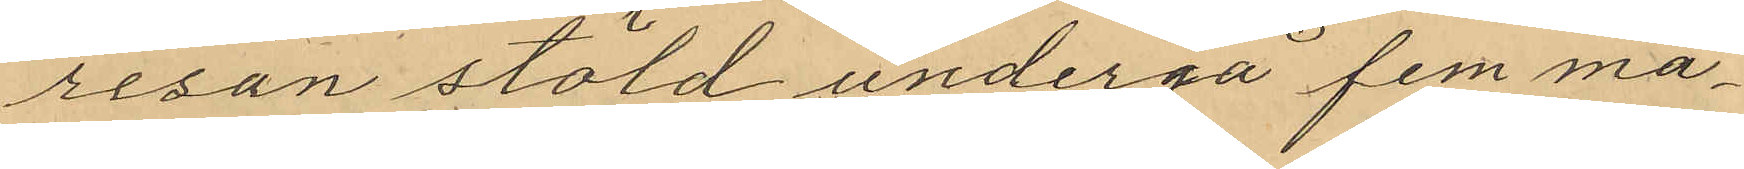resan stöld undergå fem må¬
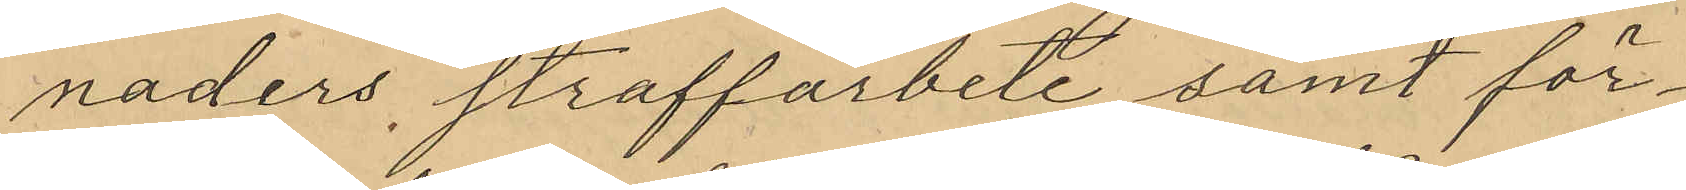naders straffarbete samt för¬
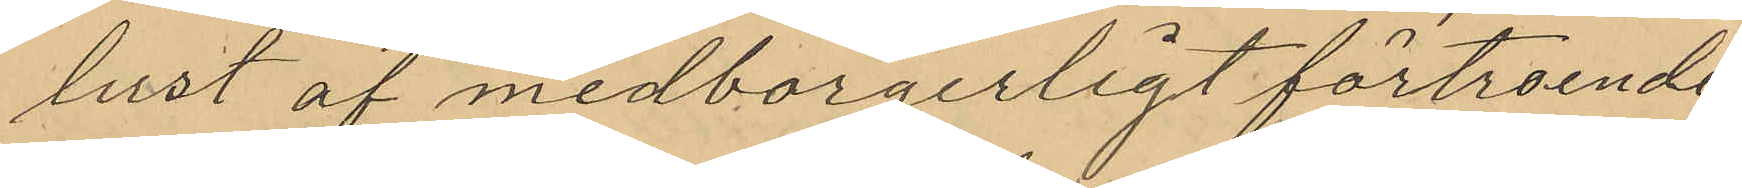lust af medborgerligt förtroende.
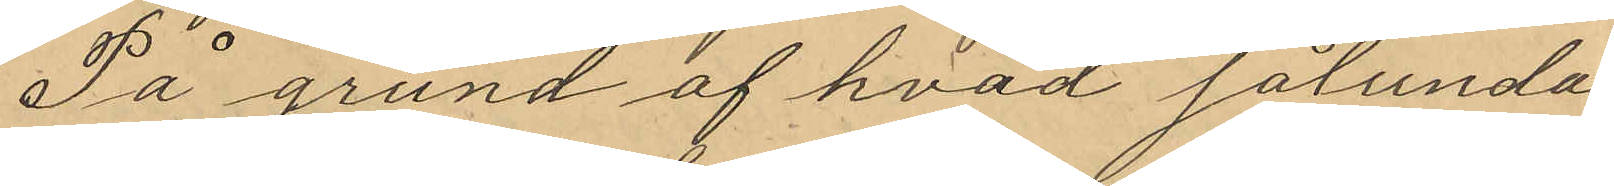På grund af hvad sålunda
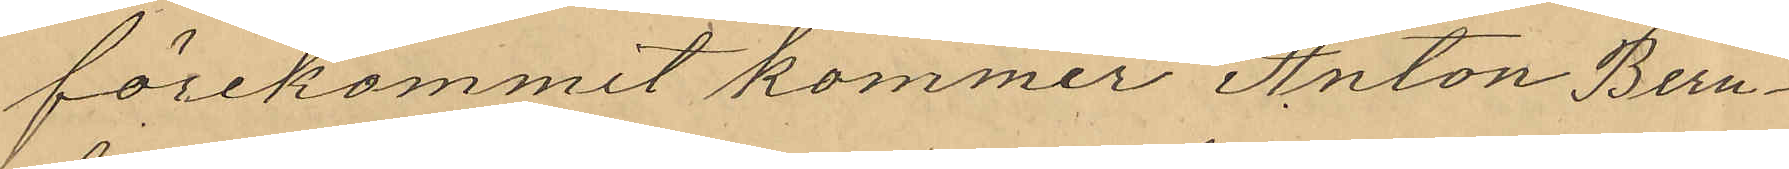förekommit kommer Anton Bern¬
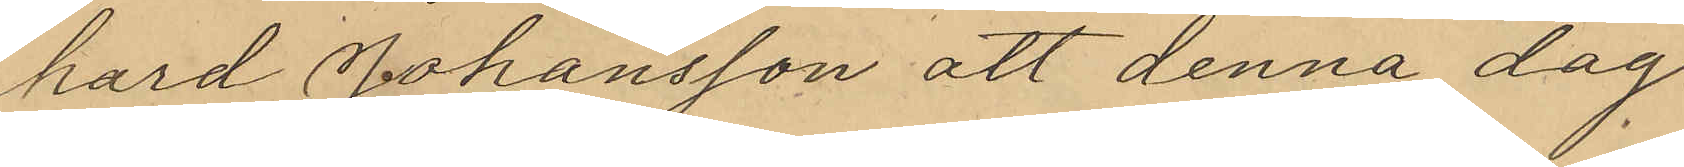hard Johansson att denna dag
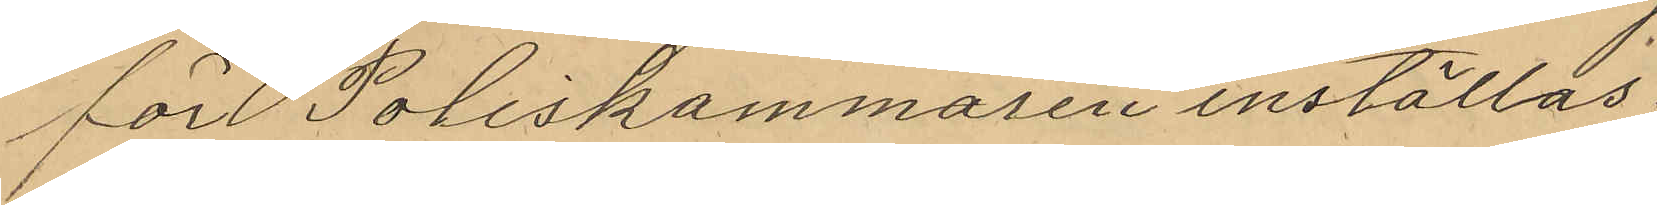för Poliskammaren inställas.
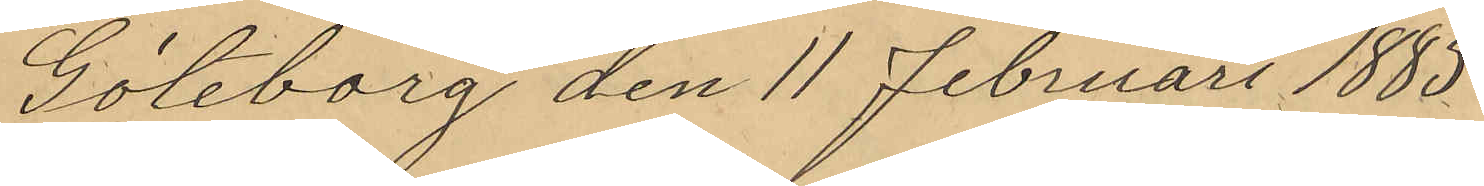Göteborg den 11 Februari 1885.
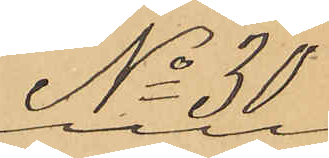No 30.
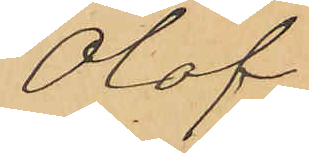Olof
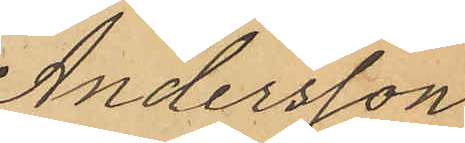Andersson
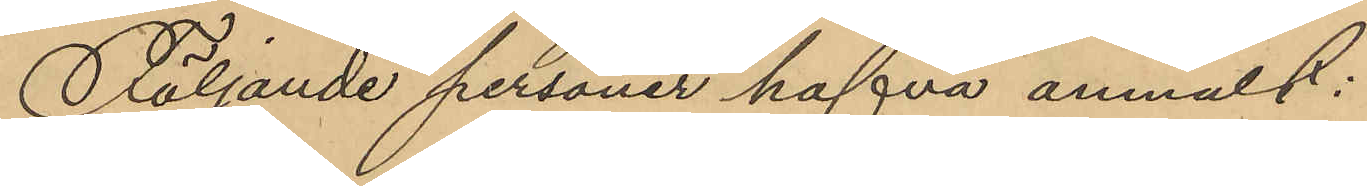Följande personer hafva anmält:
